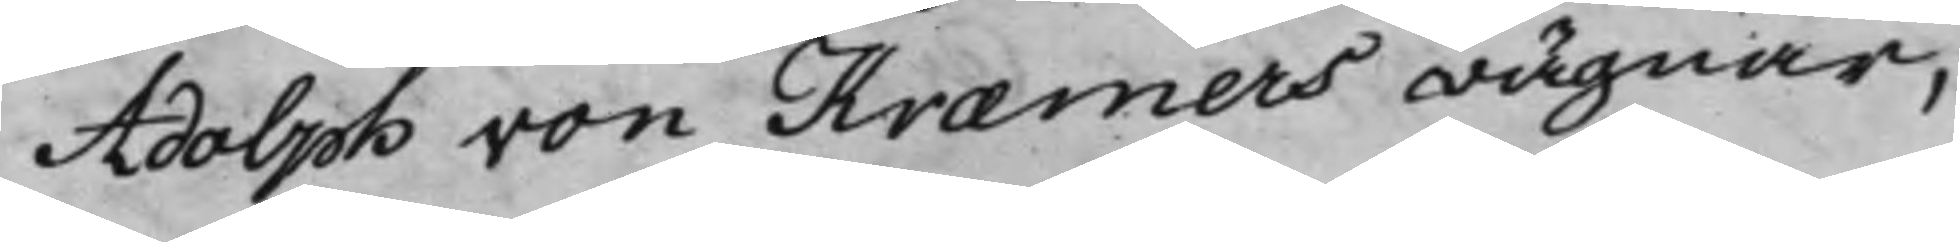Adolph von Kræmers wägnar,
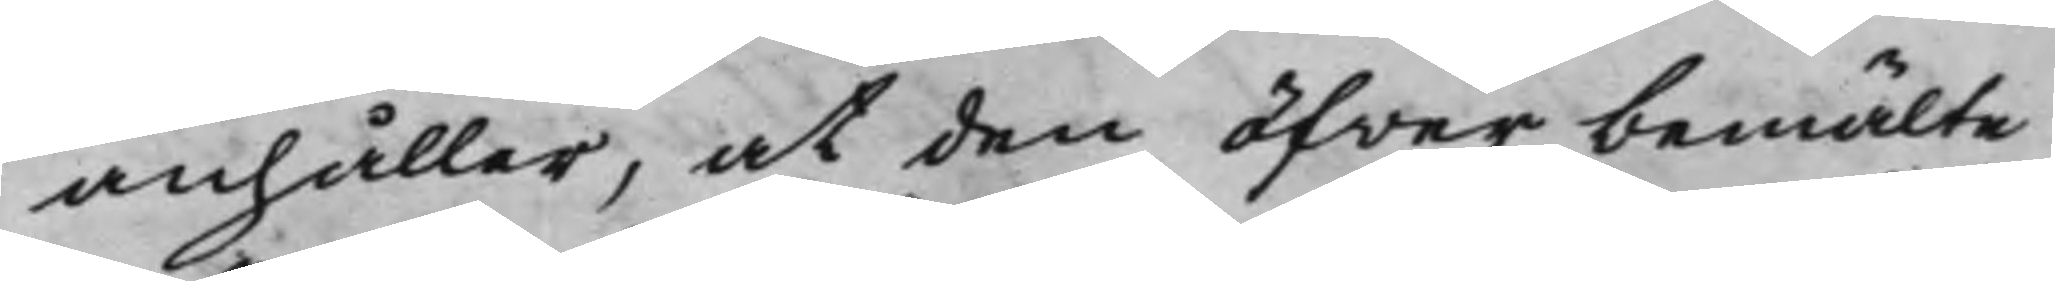anhåller, at den öfver bemälte
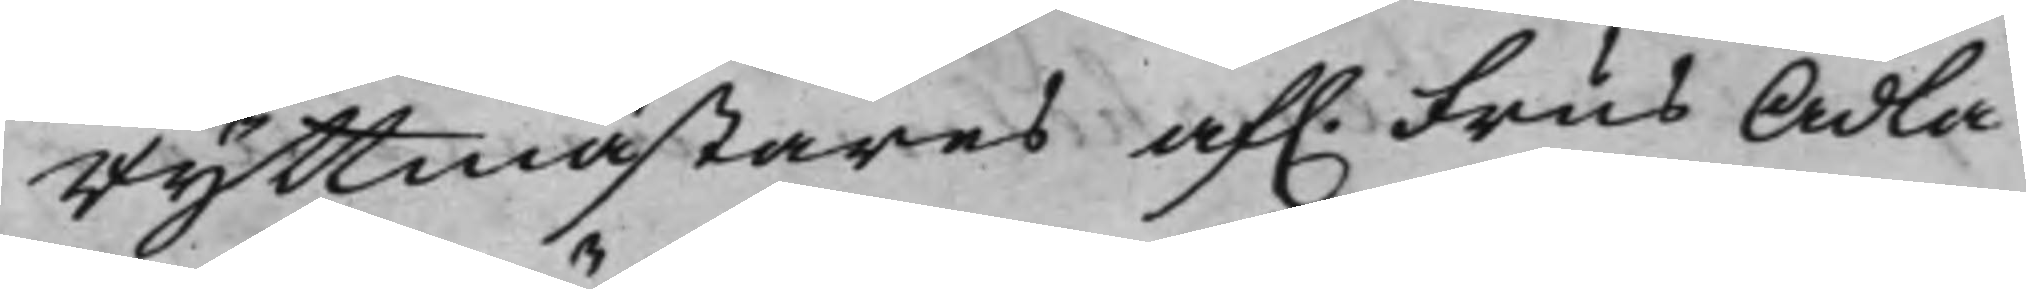Ryttmästares af. Frus Ädla
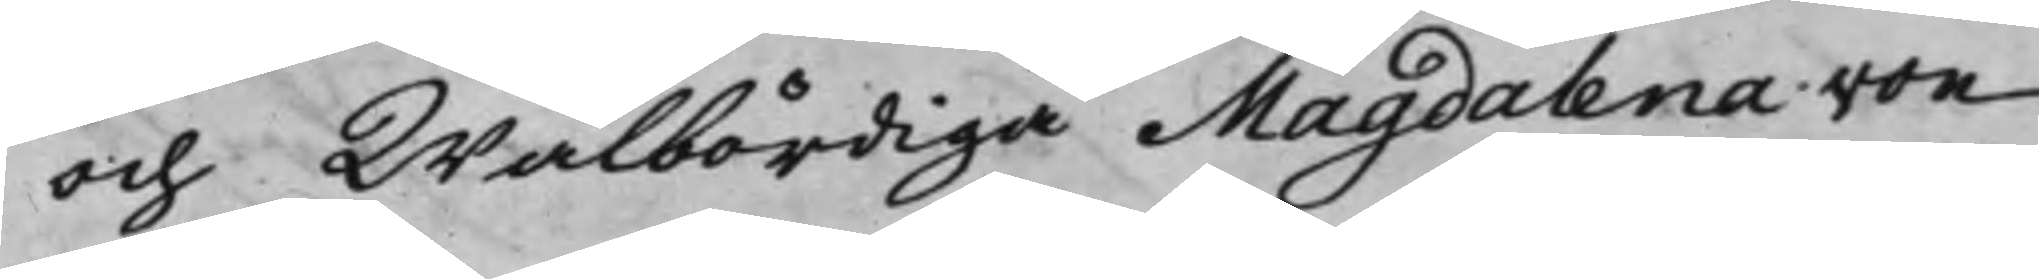och Wälbördiga Magdalena von
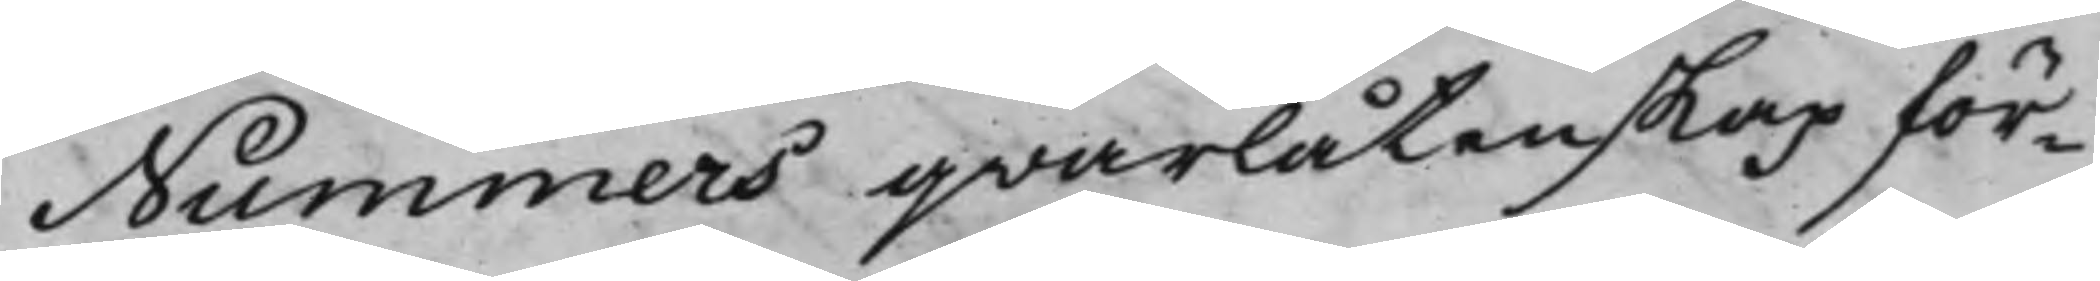Nummers qvarlåtenskap för¬
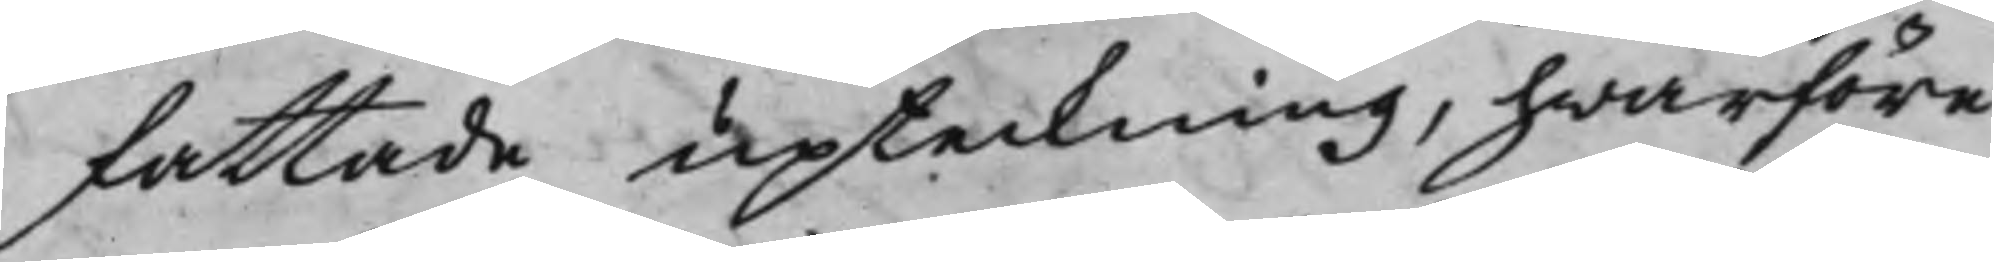fattade upteckning, hwarföre
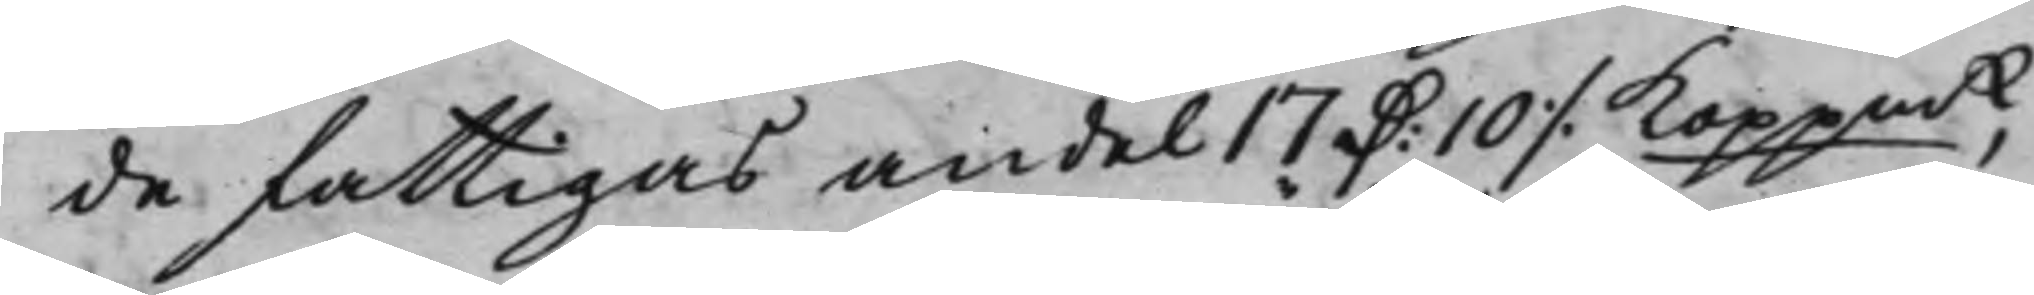de fattigas andel 17 D: 10 ./. Koppmt,
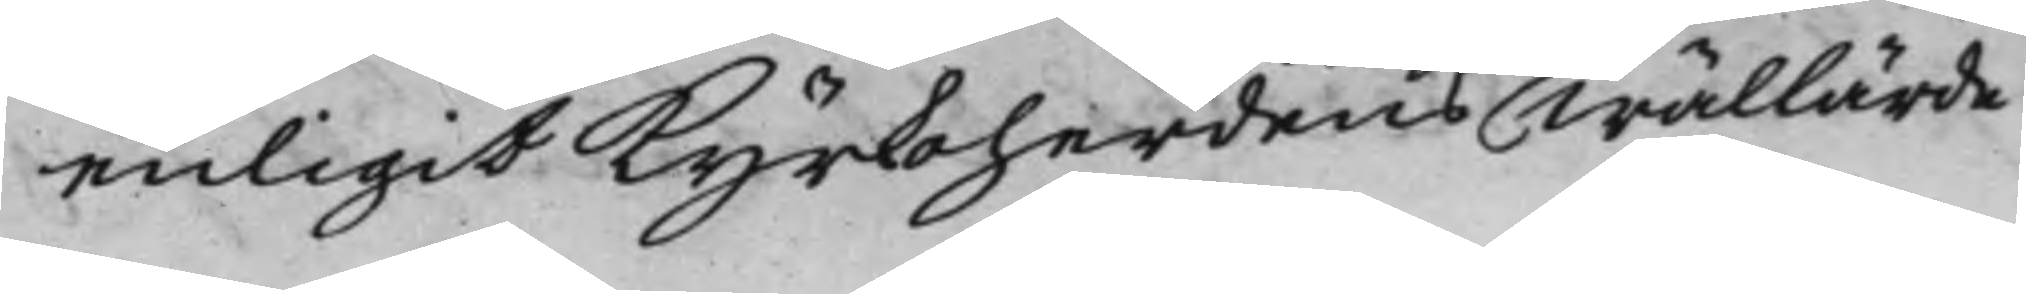enligit Kyrkoherdens Wällärde
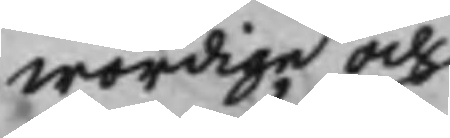wördige och
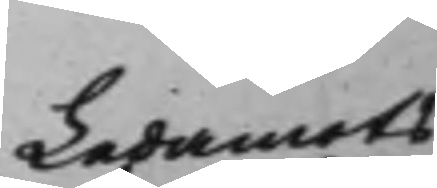Ledamots
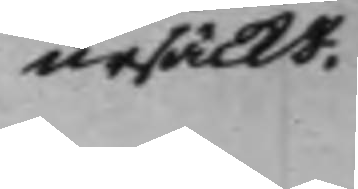ursäckt.
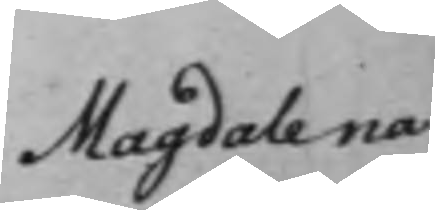Magdalena 
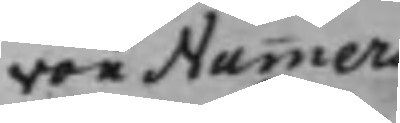von Nummers
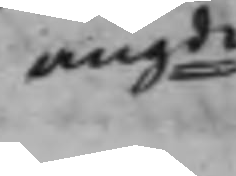angde
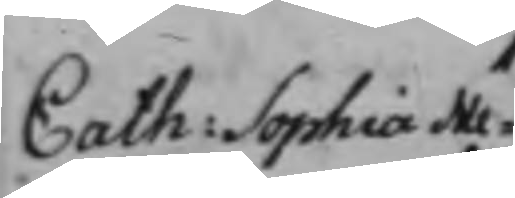Cath: Sophia Me¬
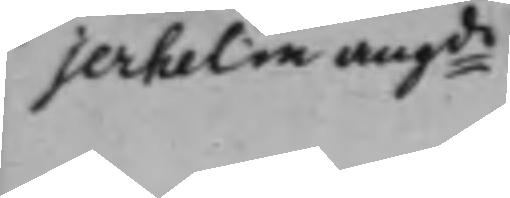jerhelm angde
